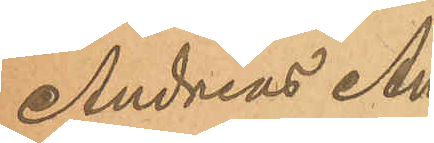Andreas An¬
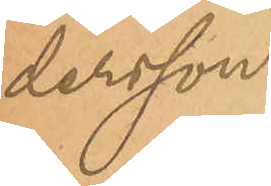dersson.
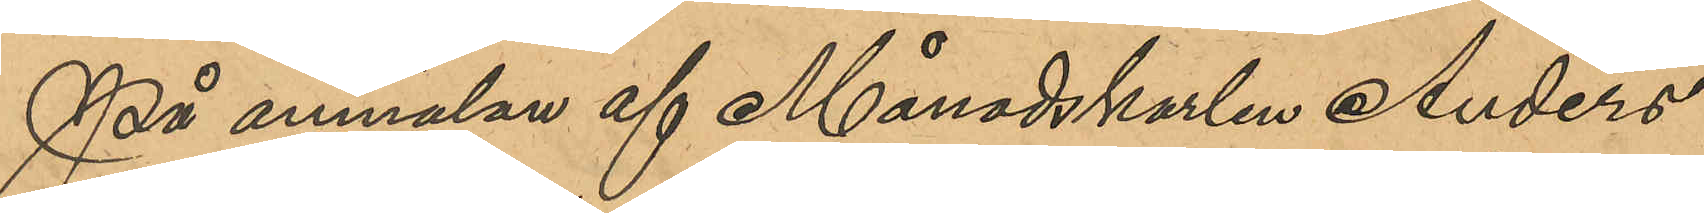På anmälan af Månadskarlen Anders
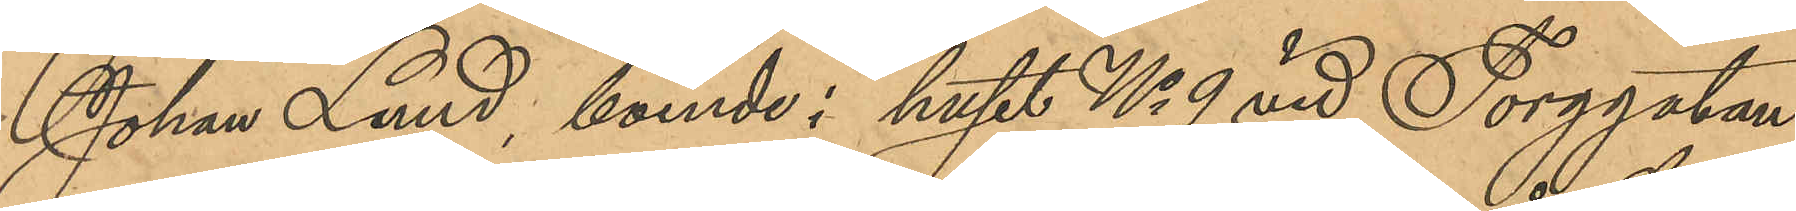Johan Lund, boende i huset No 9 vid Torggatan
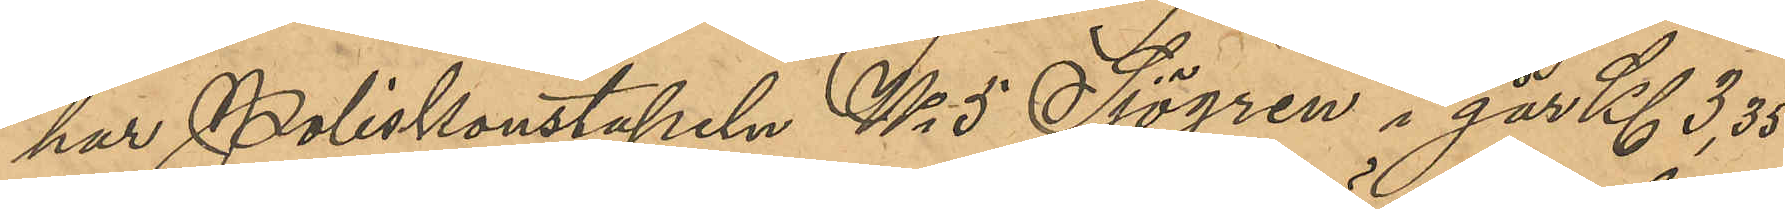har Poliskonstapeln No 5 Sjögren i går Kl 3,35
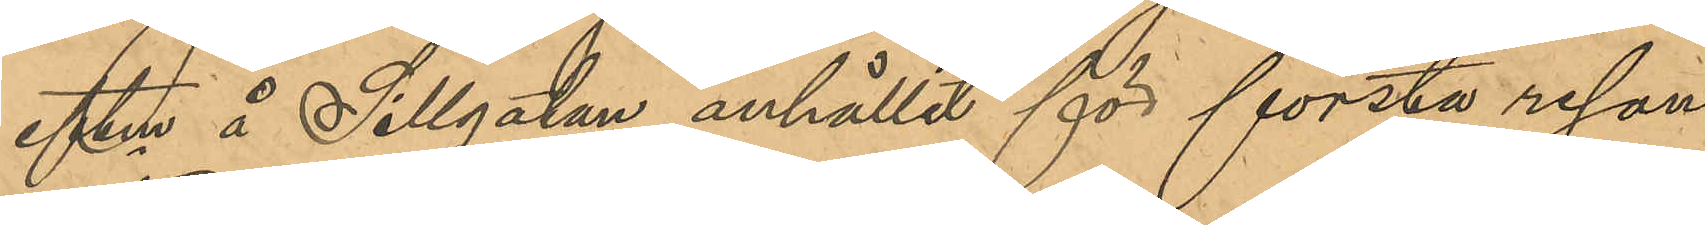eftm å Sillgatan anhållit för första resan
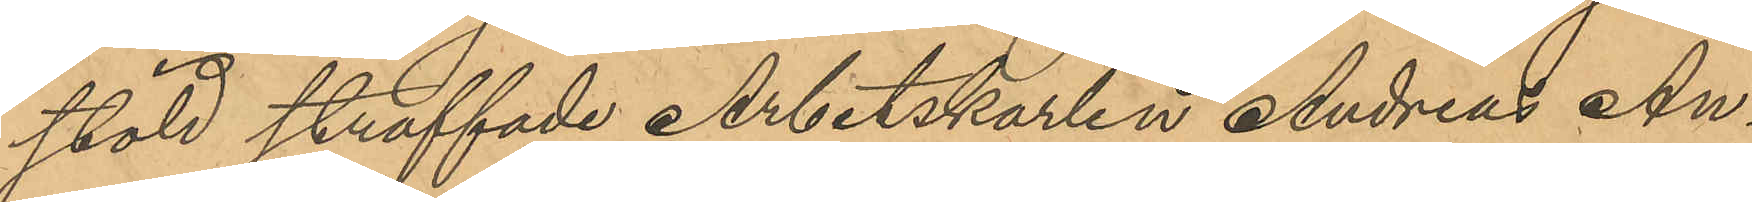stöld straffade Arbetskarlen Andreas An¬
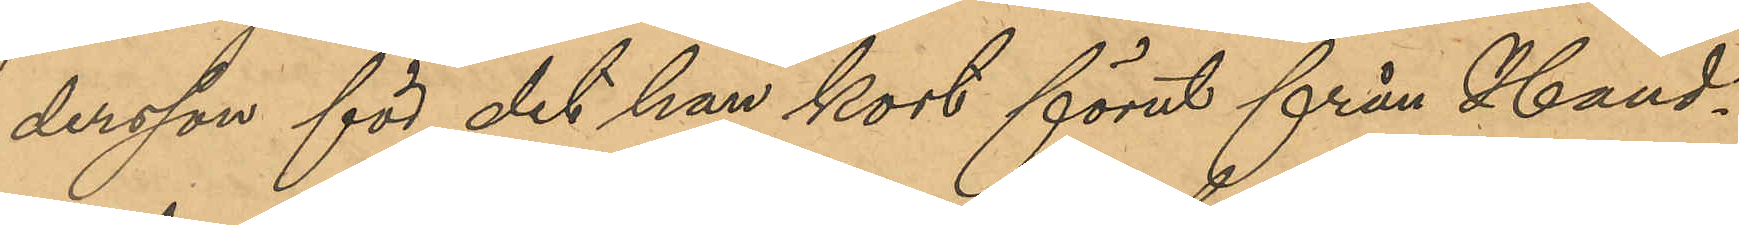dersson för det han kort förut från Hand¬
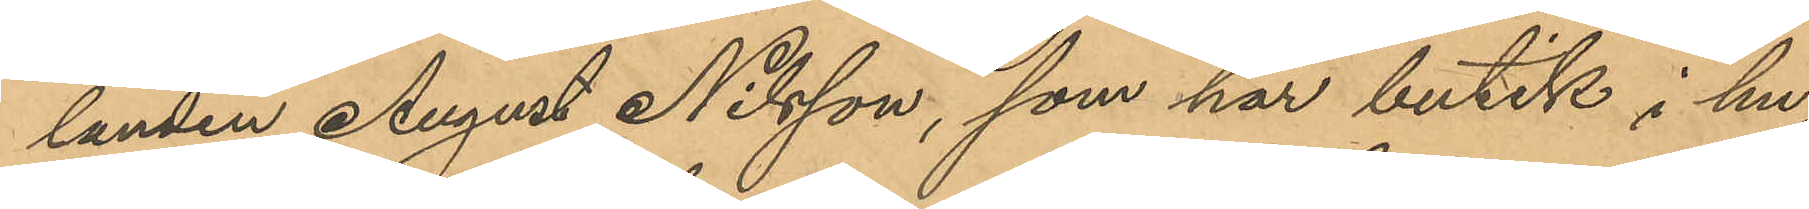landen August Nilsson, som har butik i hu¬
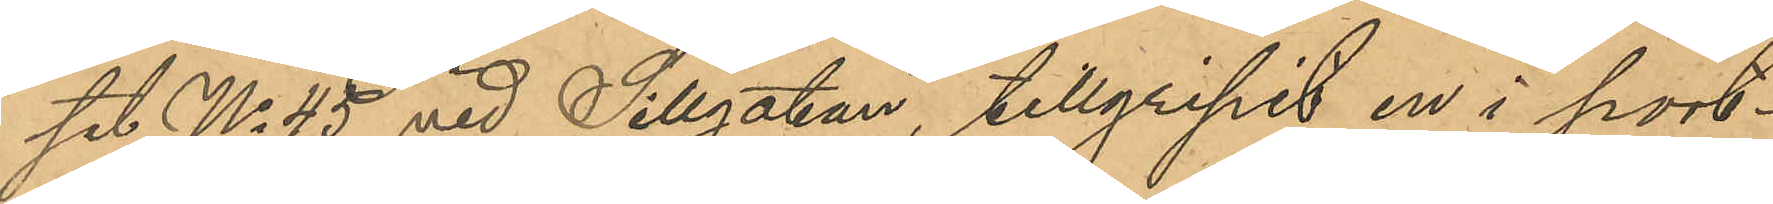set No 45 vid Sillgatan, tillgripit en i port¬
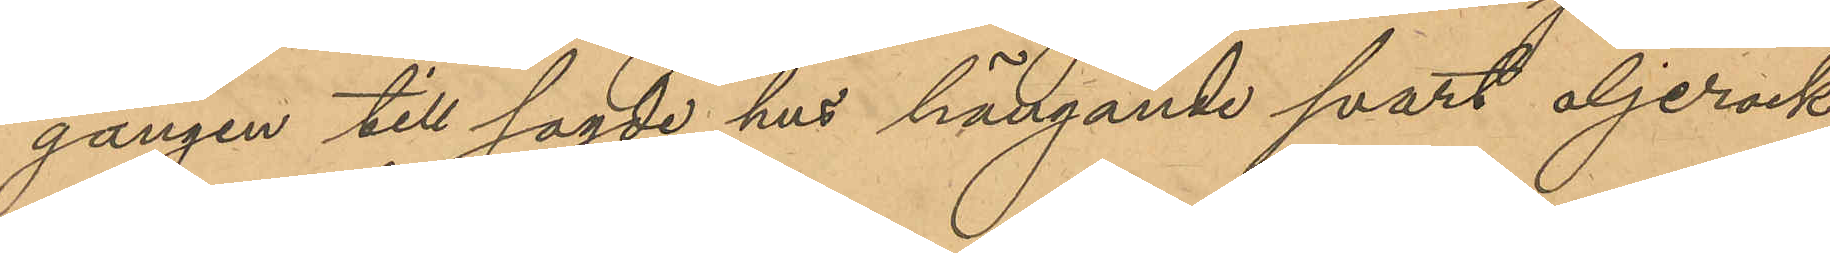gången till sagde hus hängande svart oljerock,
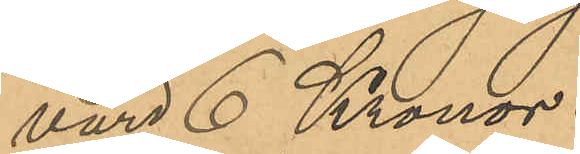värd 6 Kronor.
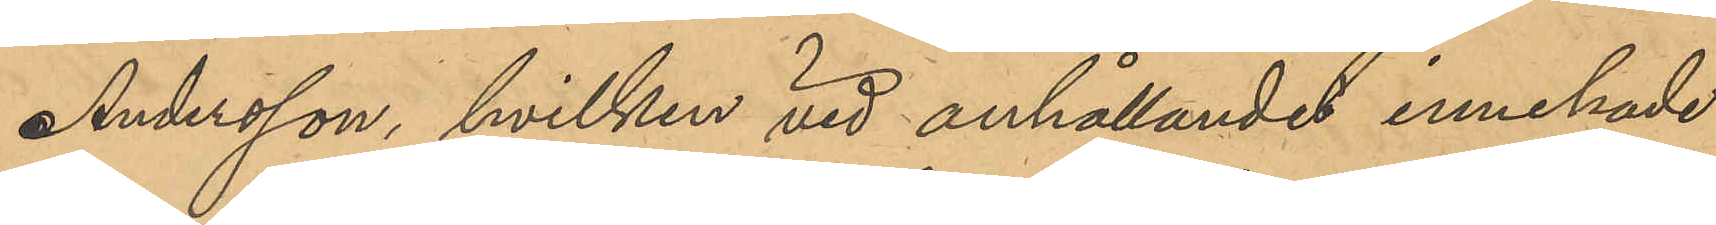Andersson hvilken vid anhållandet innehade
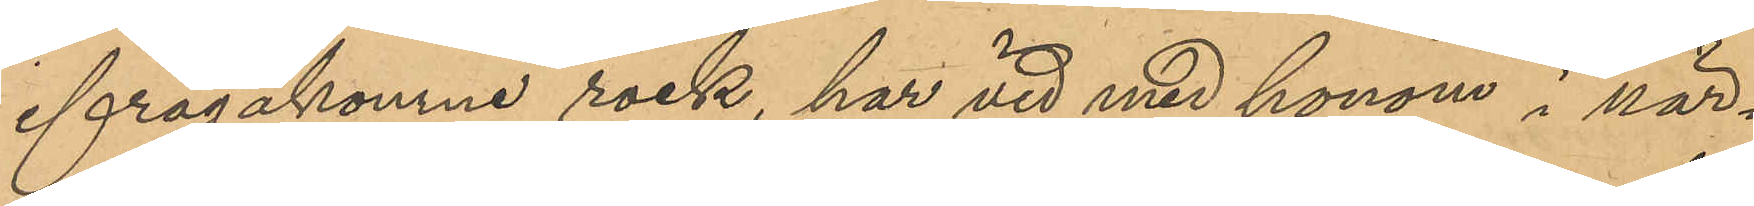ifrågakomne rock, har vid med honom i när¬
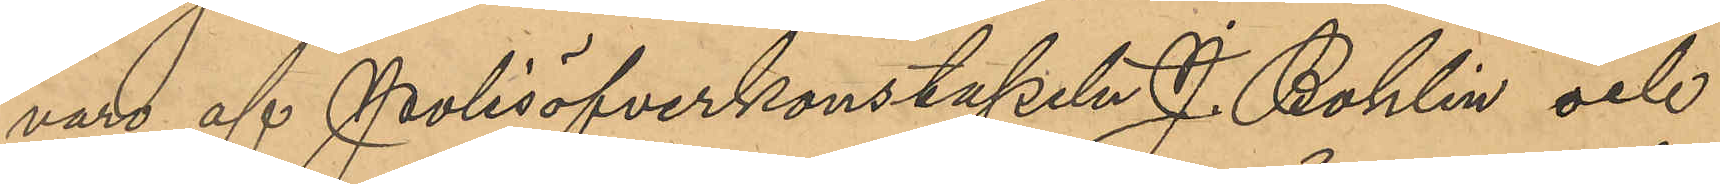varo af Polisöfverkonstapeln J. Bohlin och
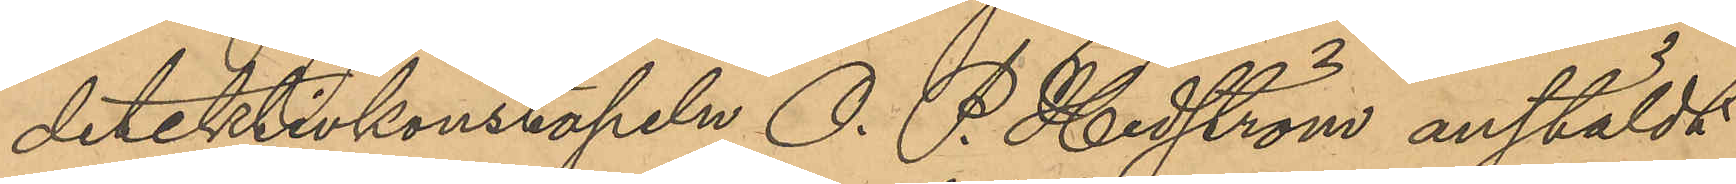detektivkonstapeln O. P. Hedström anstäldt
